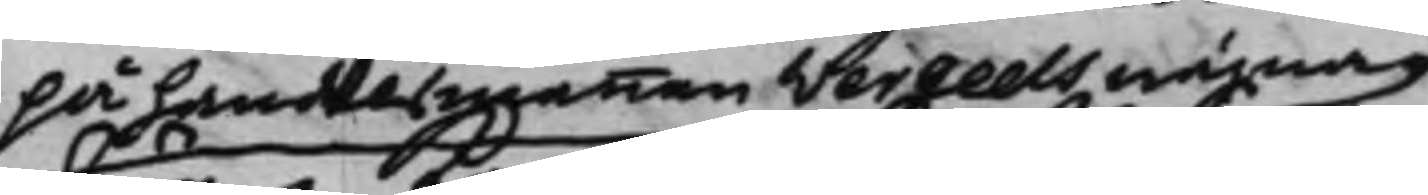på handelsmannen Vergeels wägnar
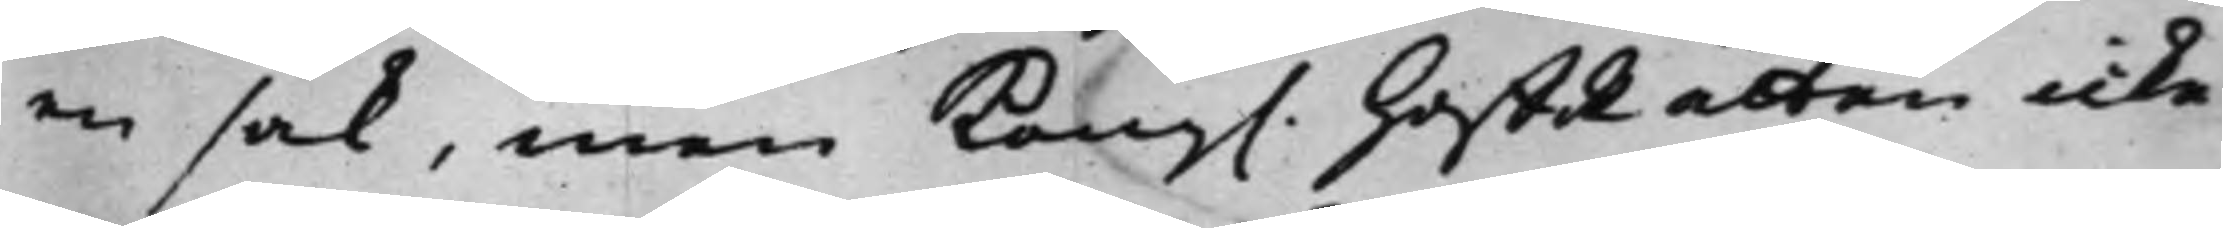en sak, men Kong. HoffRätten icke
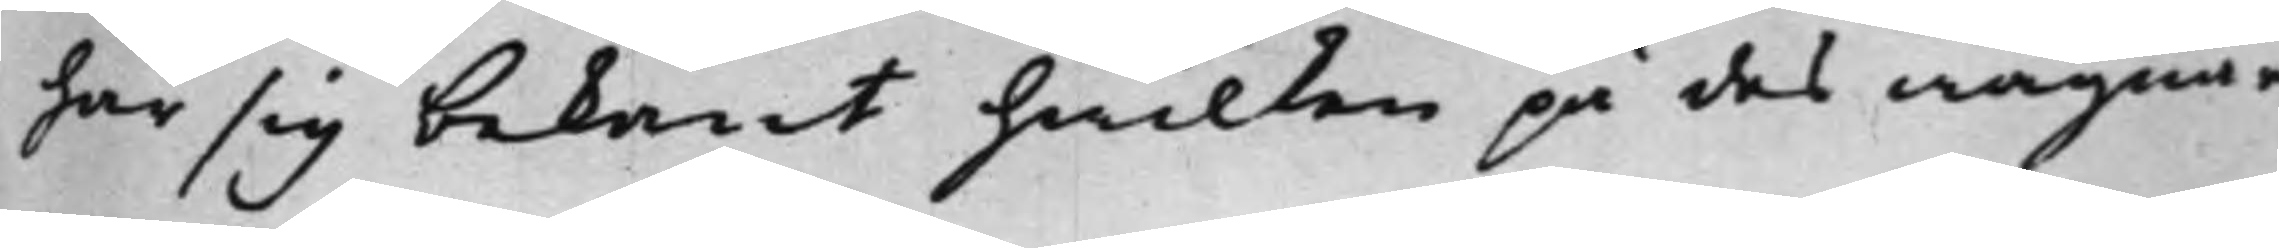har sig bekant hwilken på des wägnar
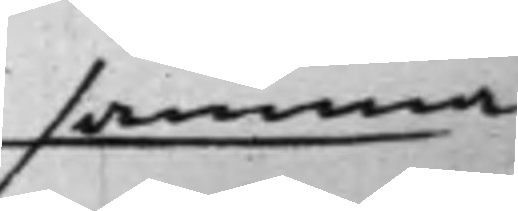samma
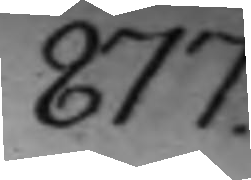877.
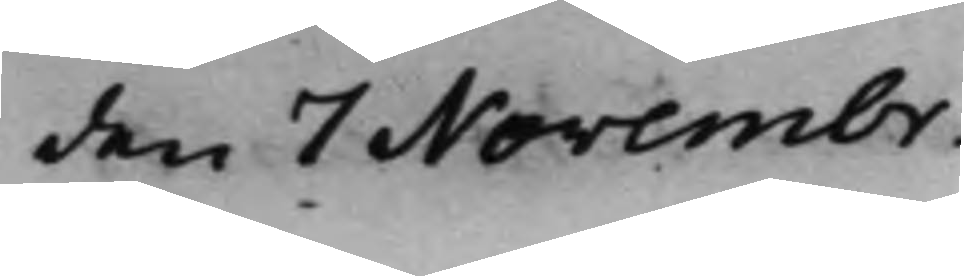den 7 Novembr.
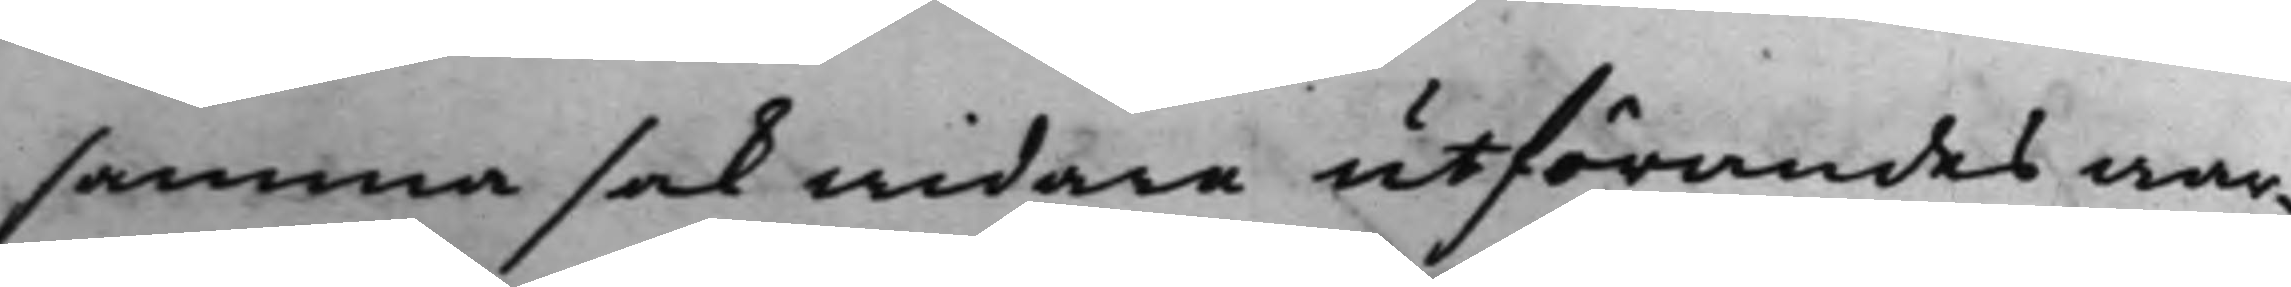samma sak widare utförandes war¬
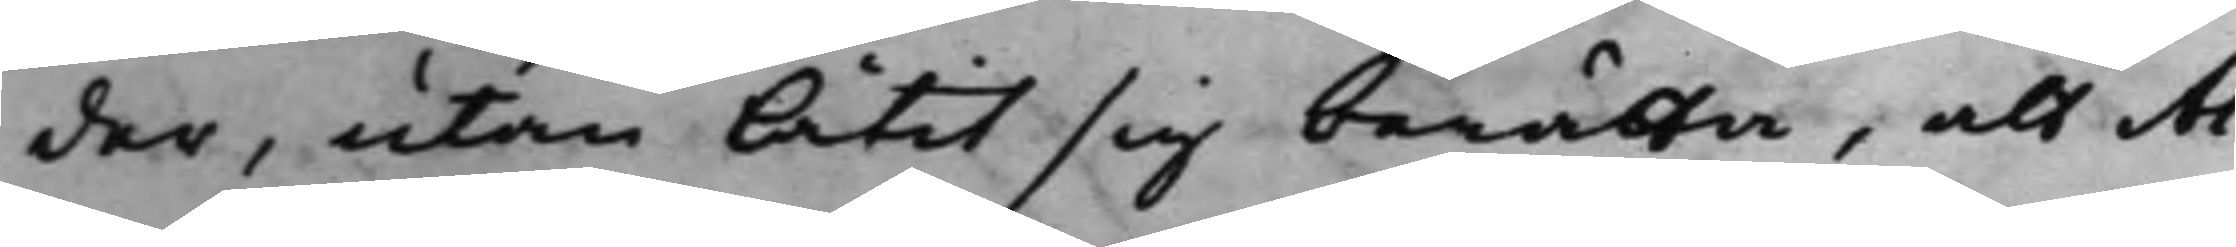der, utan låtit sig berätta, att Al¬
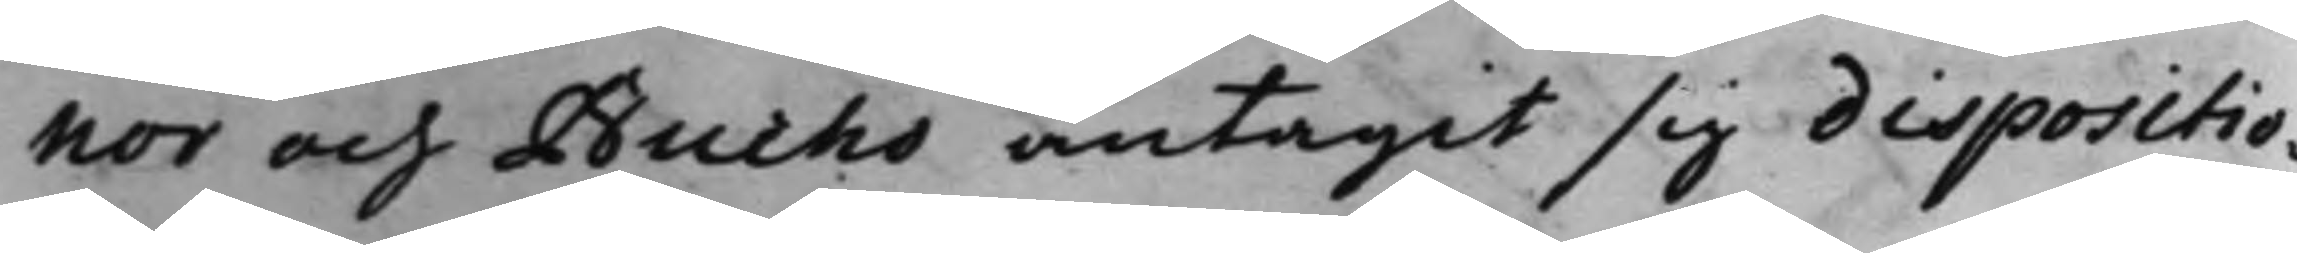nor och Bucho antagit sig dispositio¬
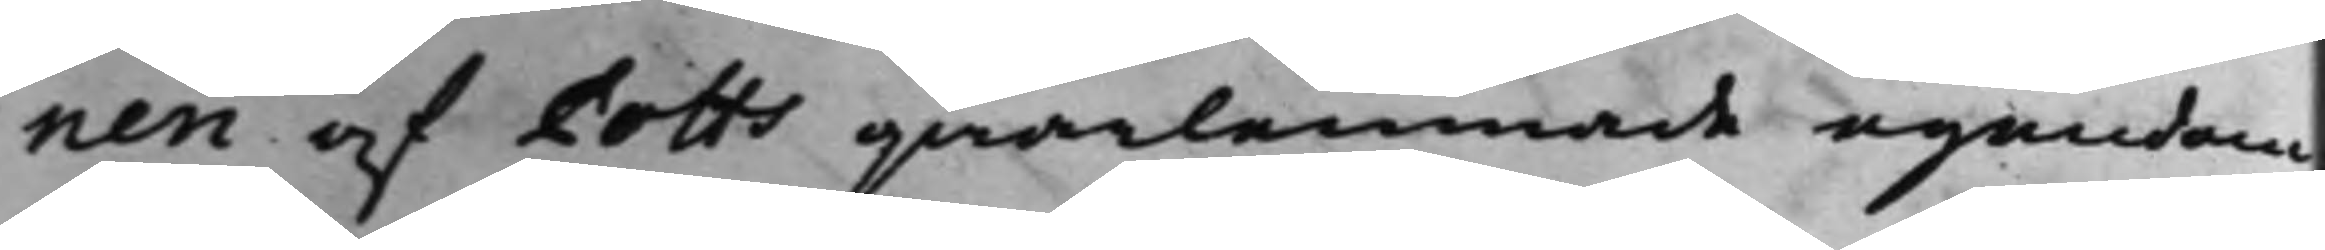nen af Potts qwarlemnade egendom;
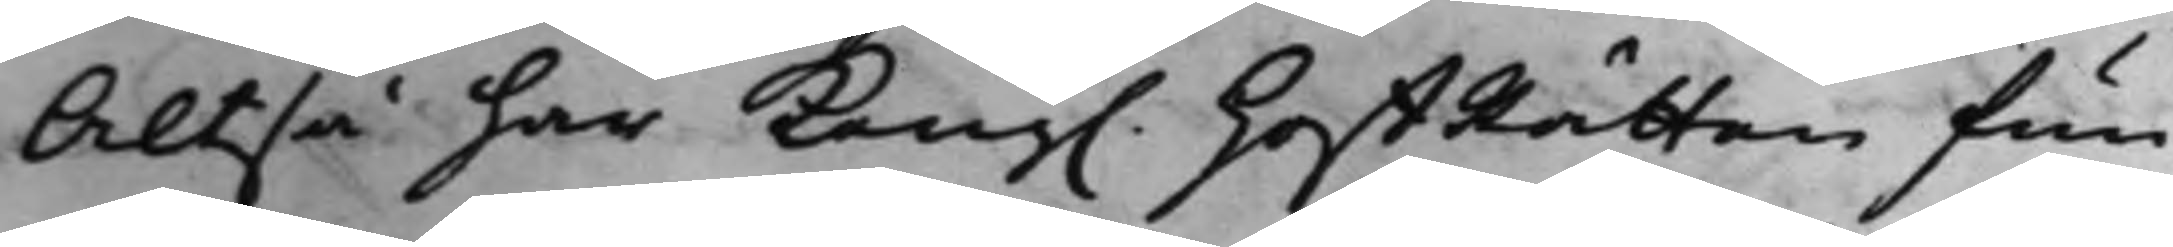Altså har Kong. HoffRätten fun¬
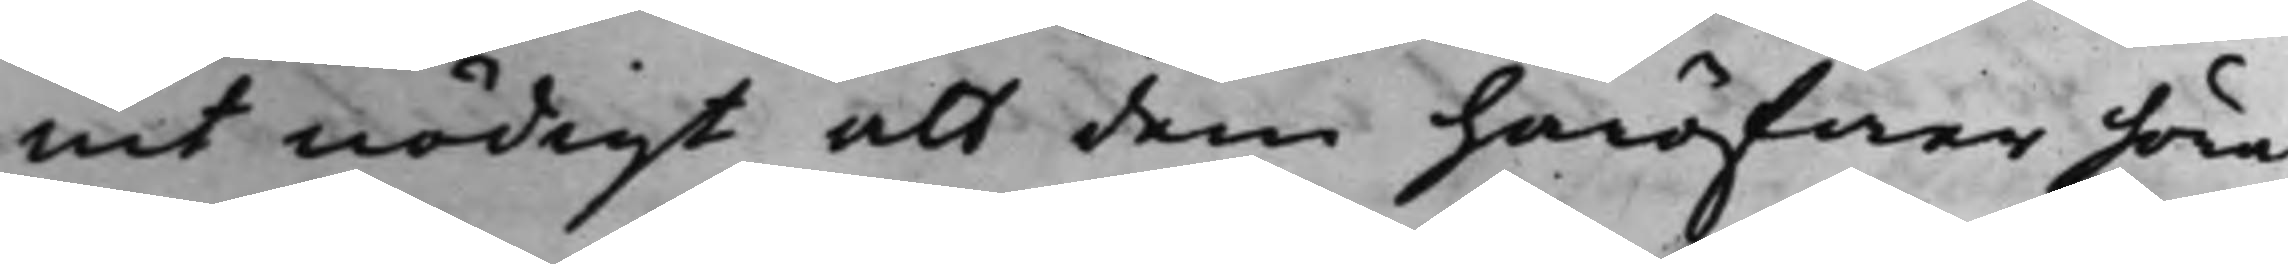nit nödigt att dem häröfwer höra.
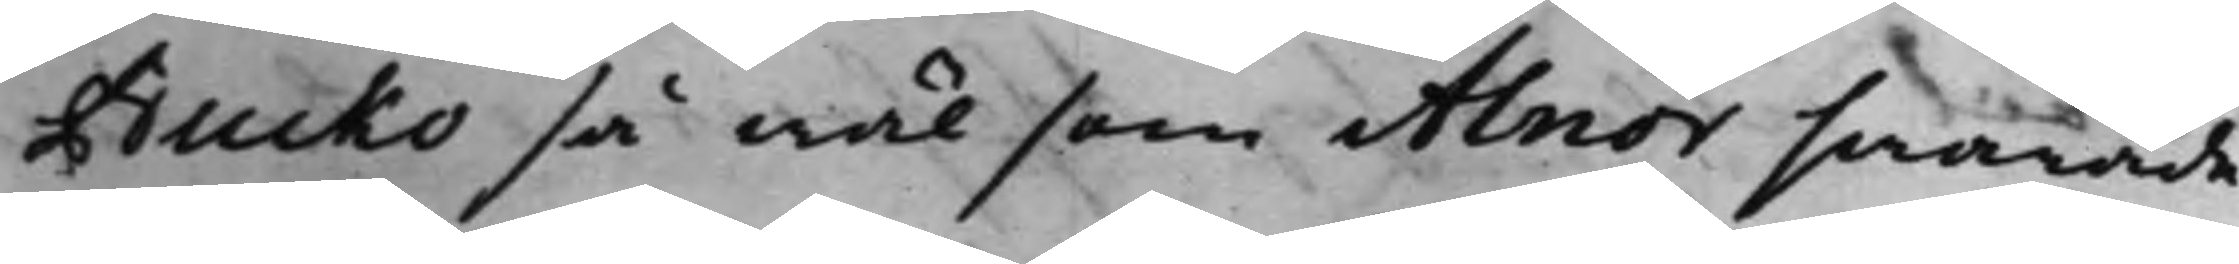Bucko så wäl som Alnor swarade,
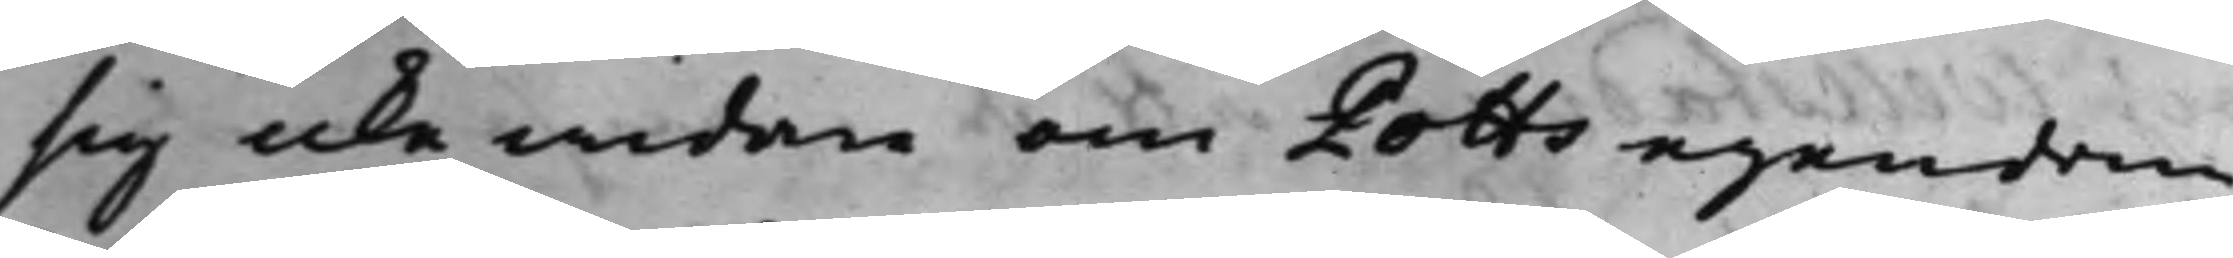sig icke widare om Potts egendom
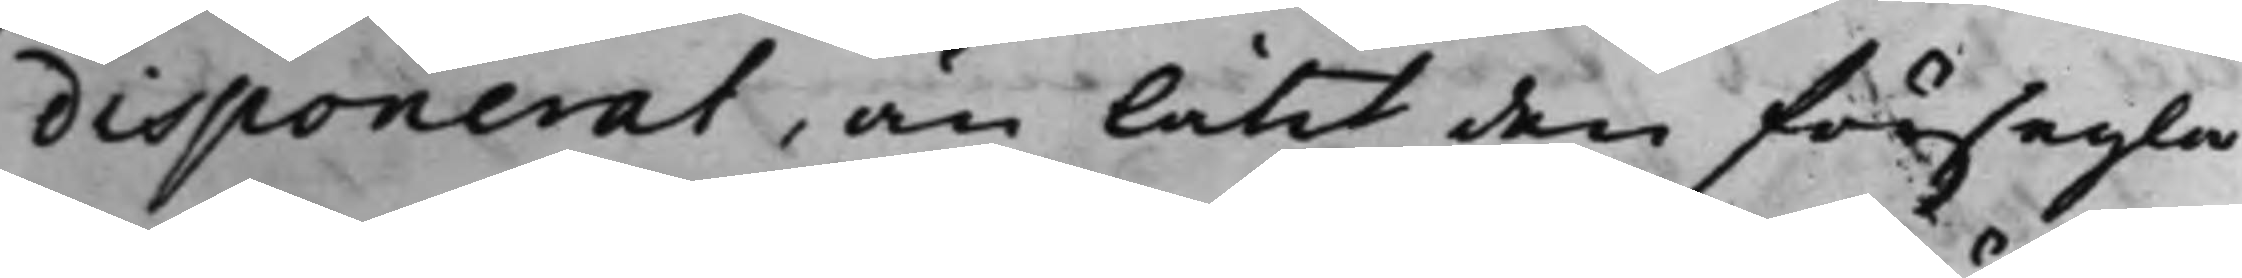disponerat, än låtit den försegla,
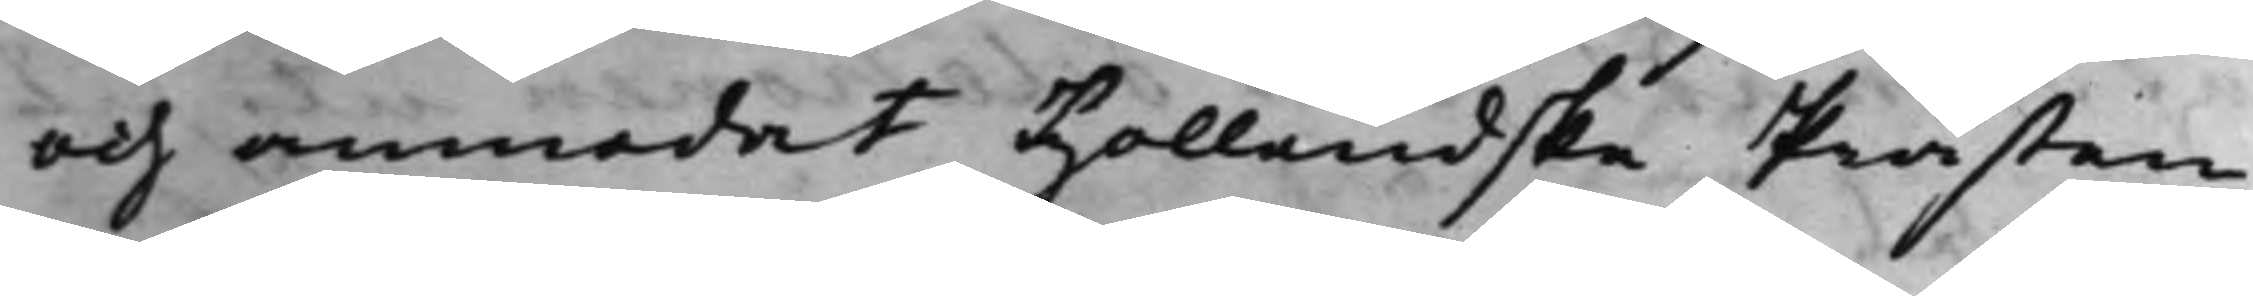och anmodat Hollendske Prästen
